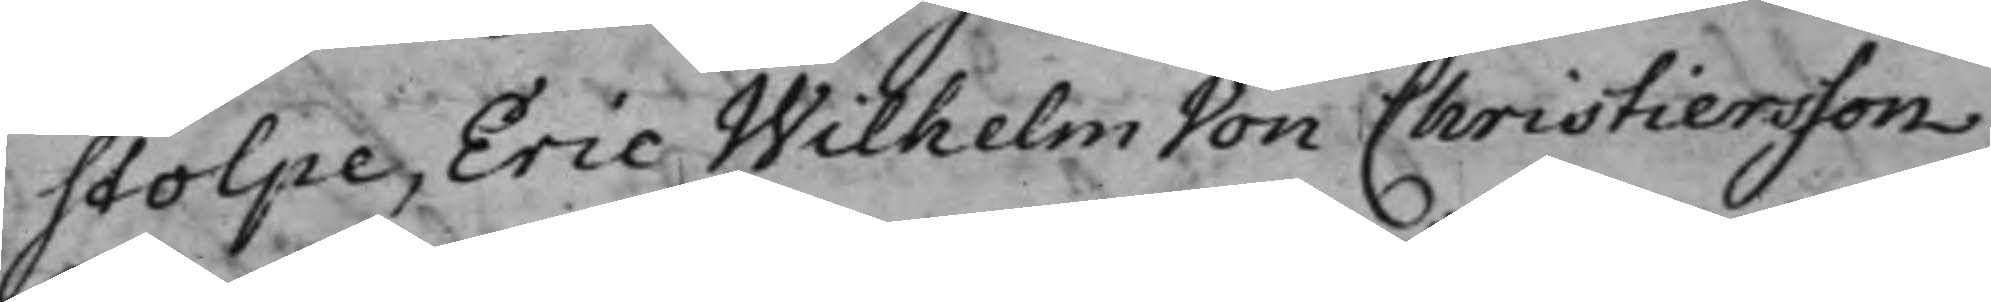stolpe, Eric Wilhelm Von Christiersson.
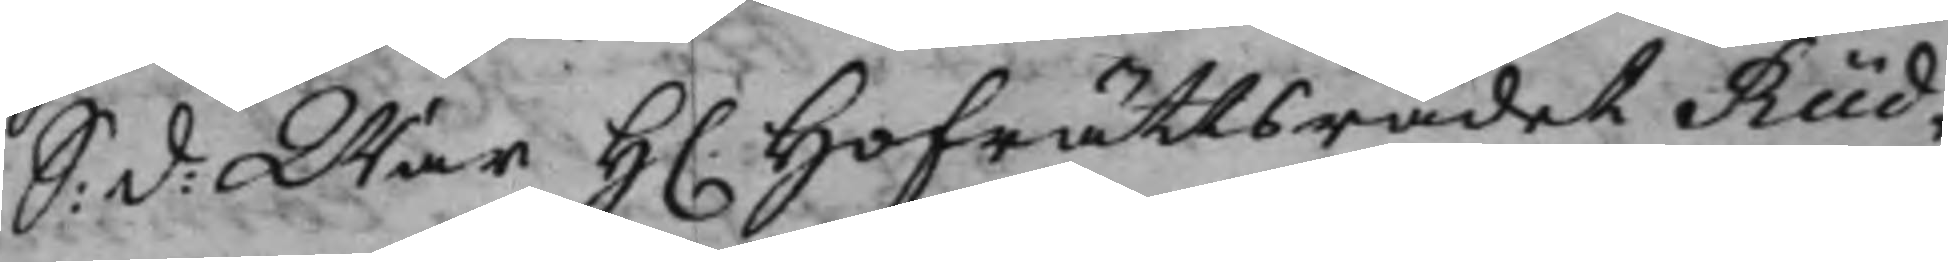S: d: War H. Hofrättsrådet Rüd¬
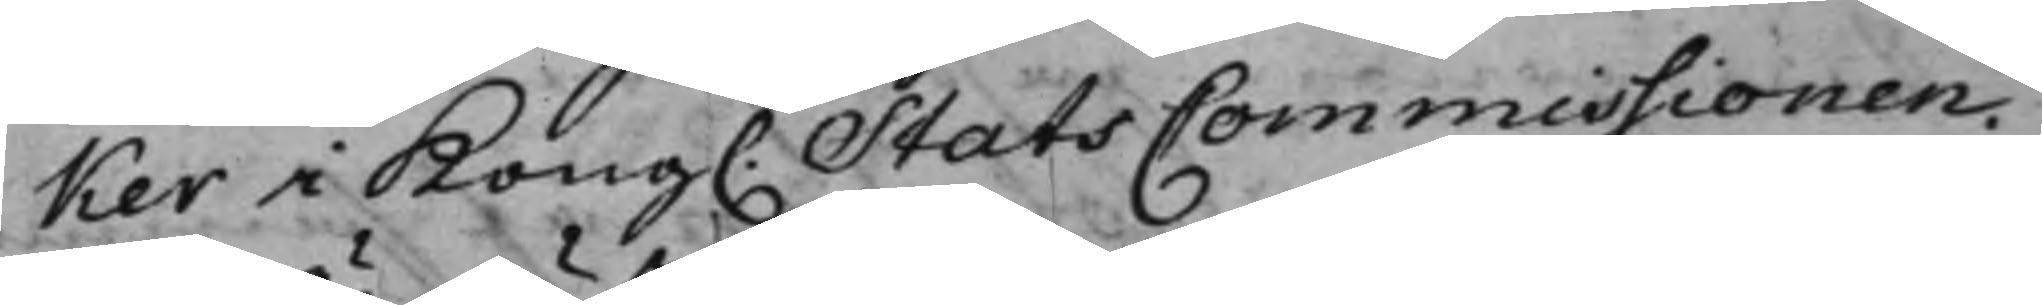ker i Kong. StatsCommissionen.
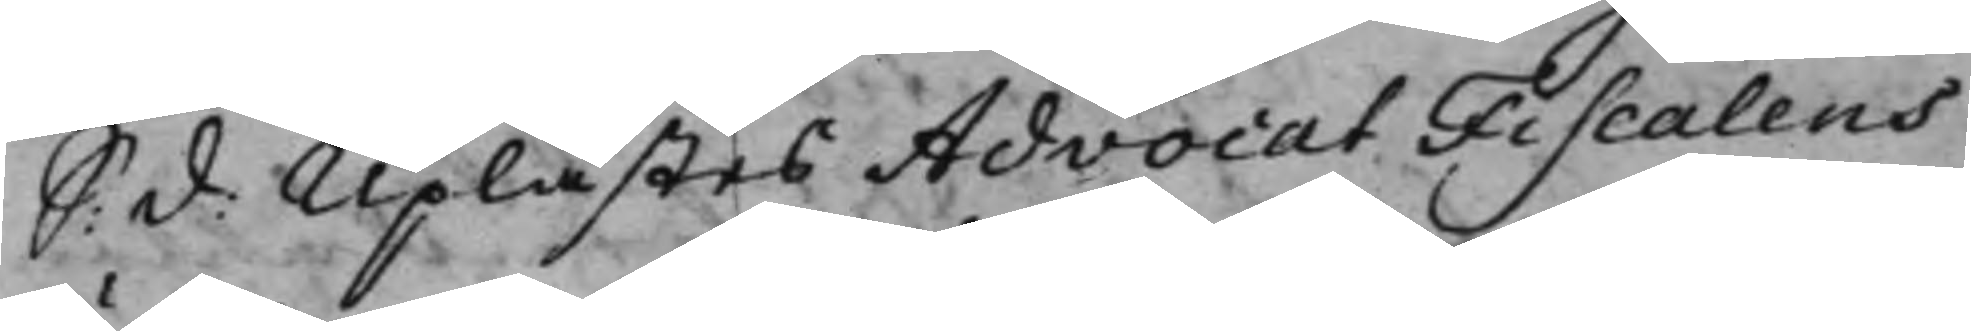S: d: Uplästes AdvocatFiscalens
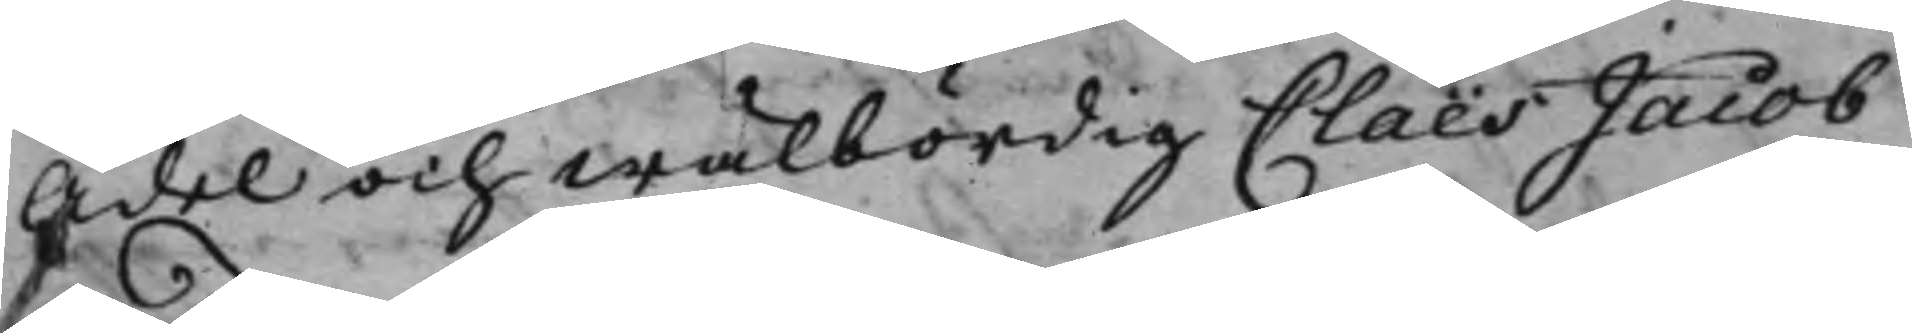Ädel och Wälbördig Claës Jacob
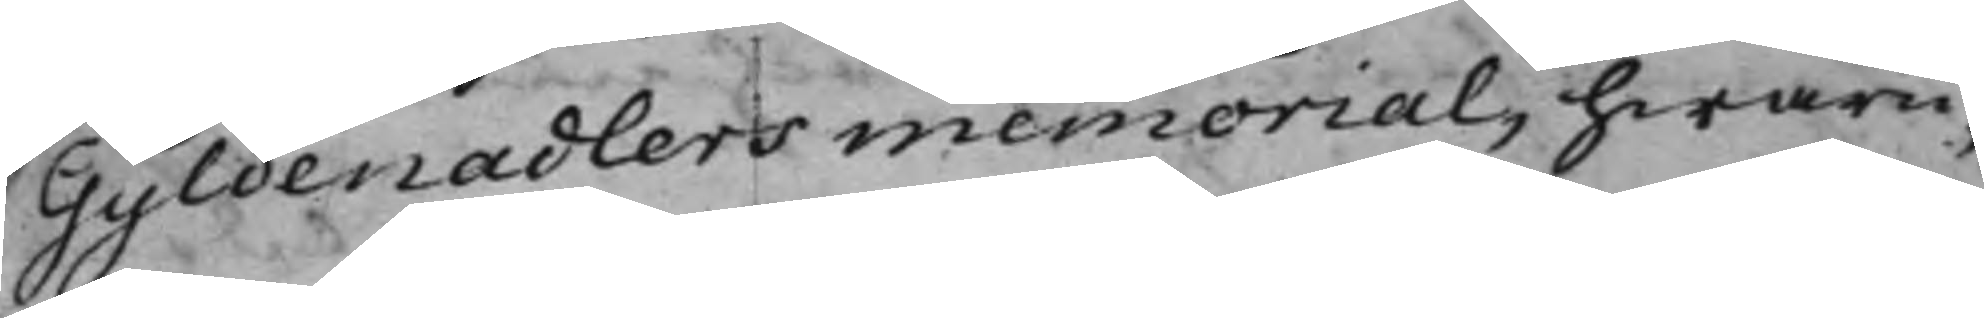Gyldenadlers memorial, hwaru¬
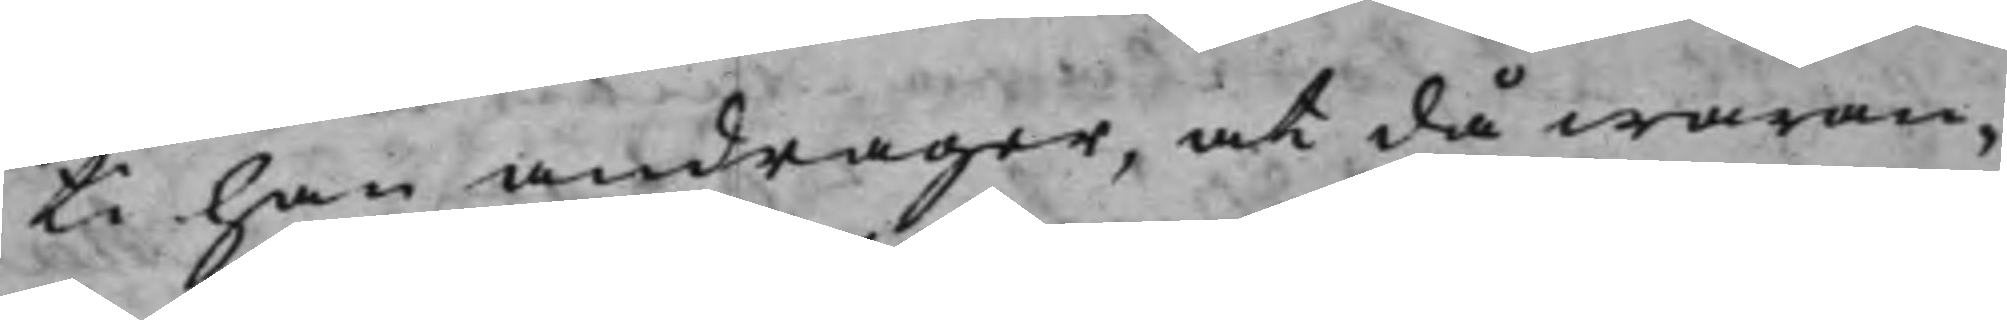ti han andrager, at då waran¬
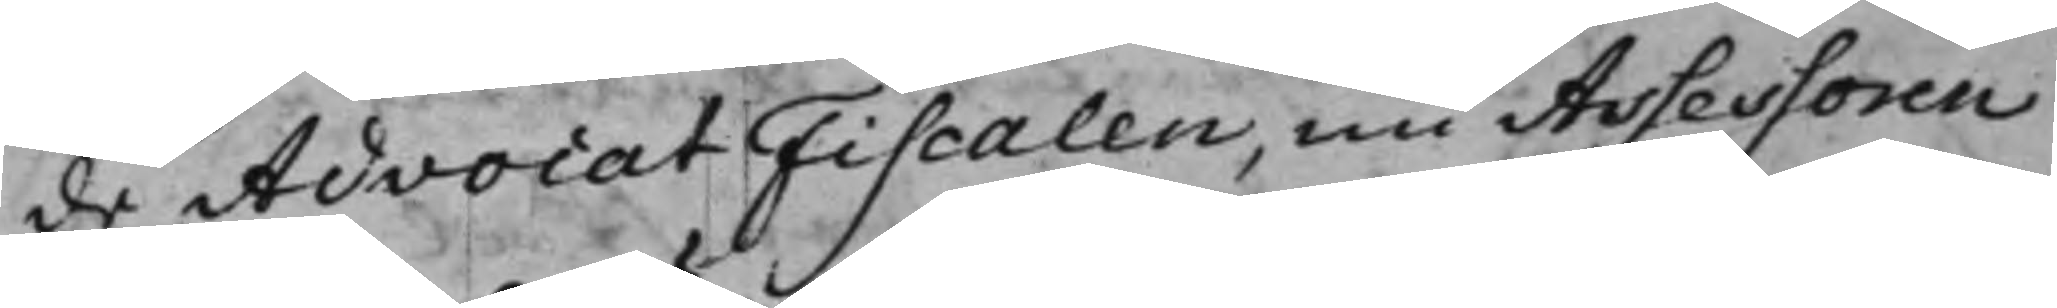de AdvocatFiscalen, nu Assessoren
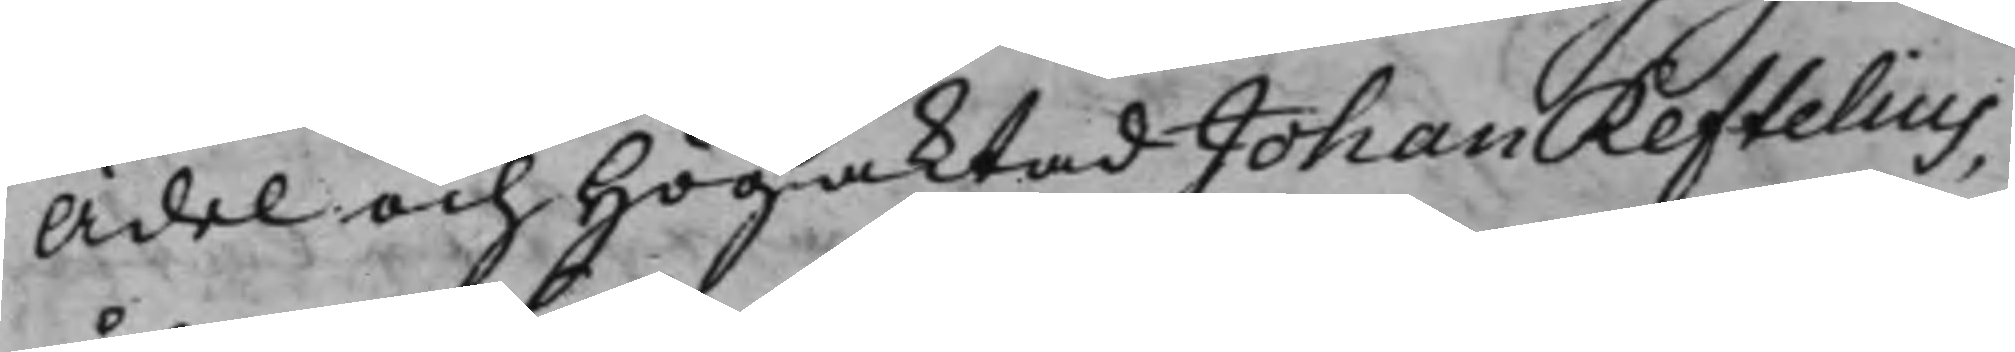Ädel och Högaktad Johan Reftelius,
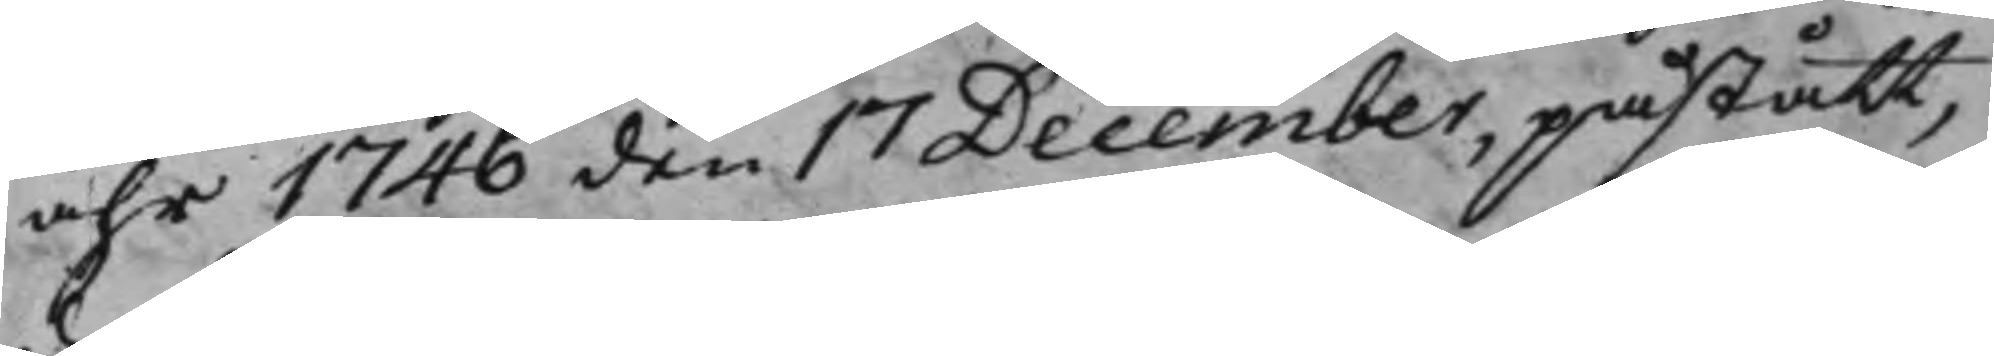åhr 1746 den 17 December, påstått,
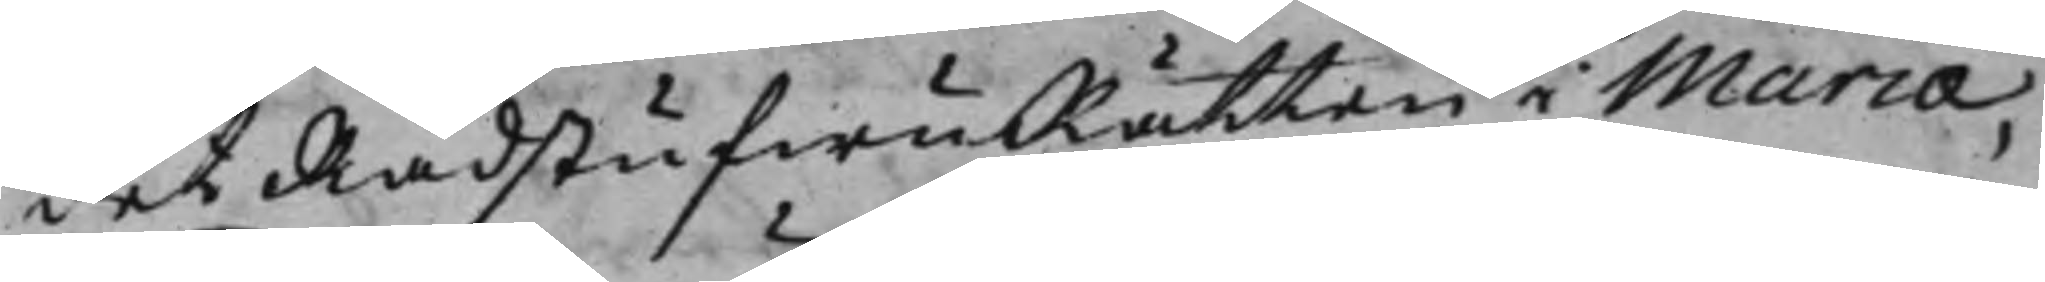det RådstufwuRätten i Mariæ¬
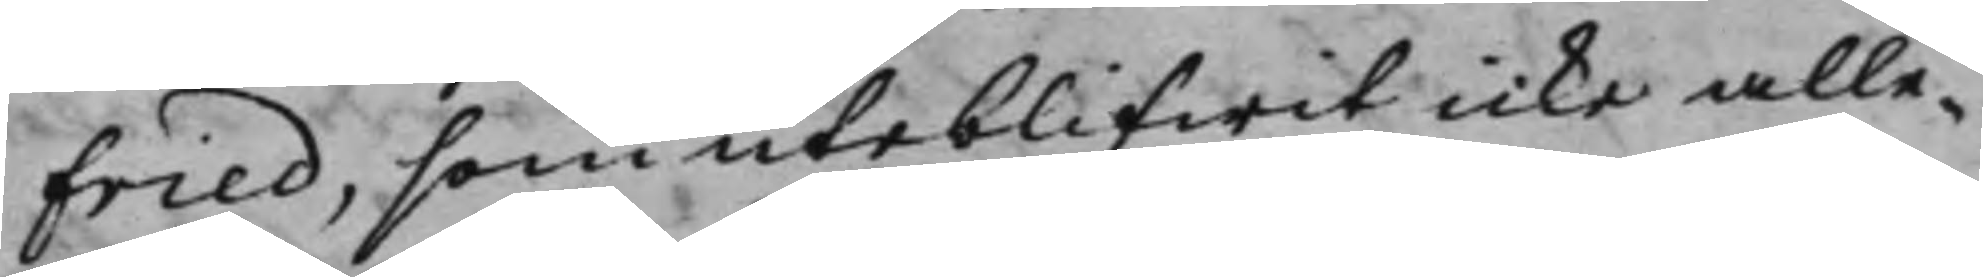fried, som uteblifwit icke alle¬
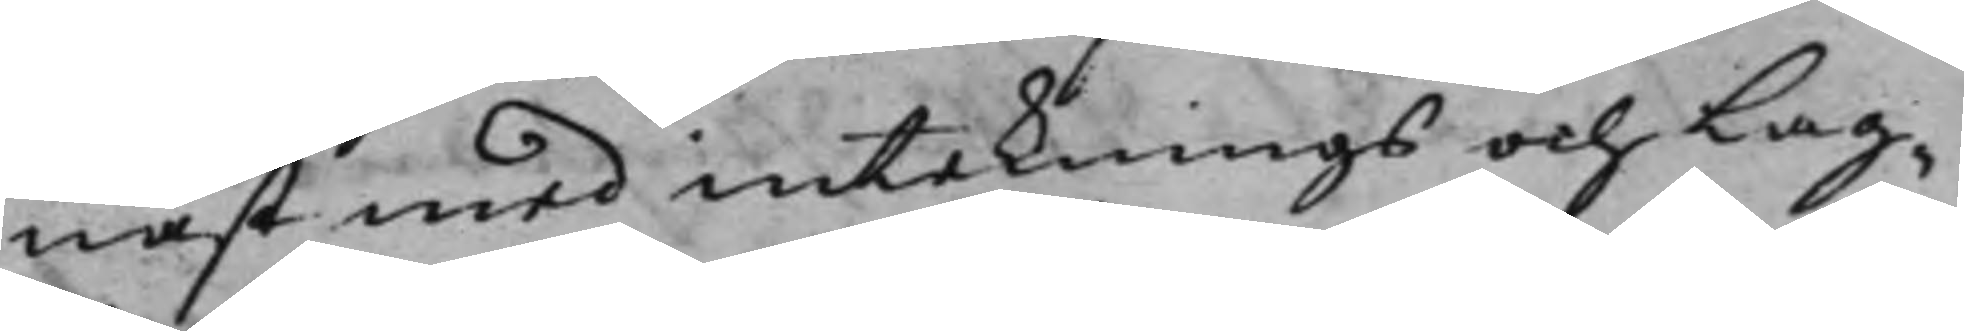nast med inteknings och Lag¬
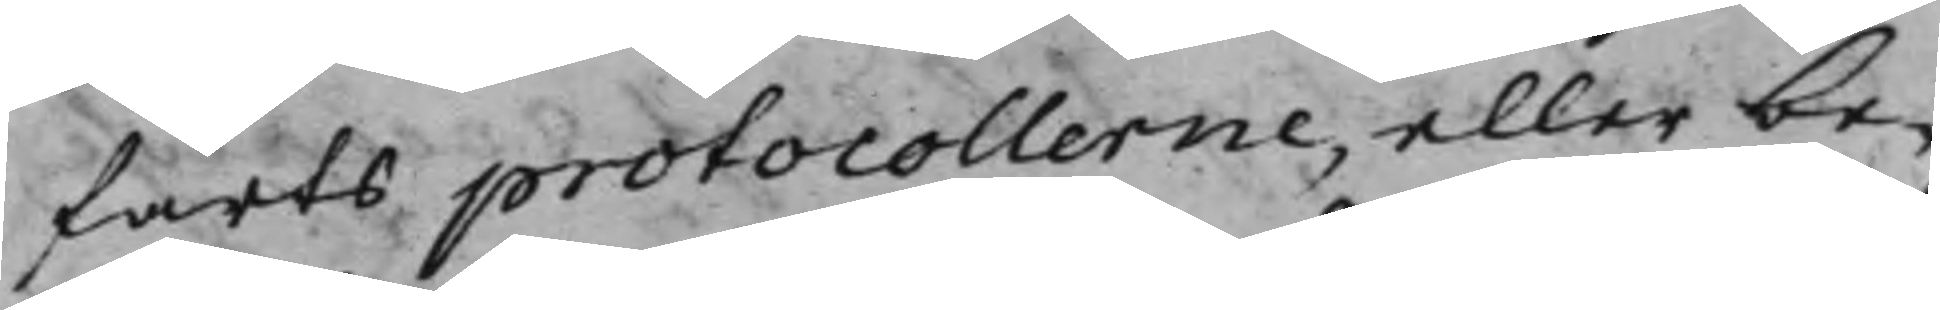farts protocollerne, eller be¬
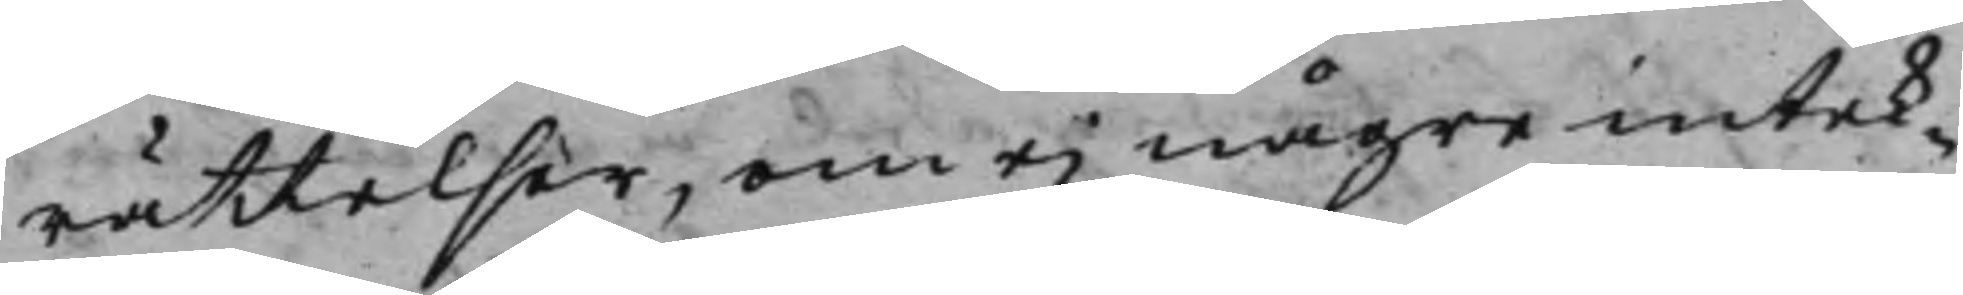rättelser, om ei någre intek¬
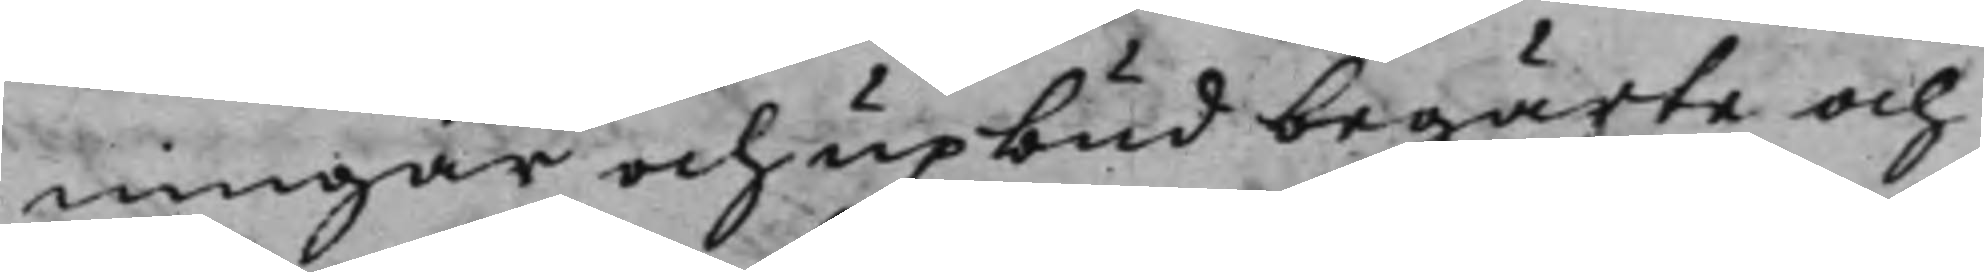ningar och upbud begärte och
